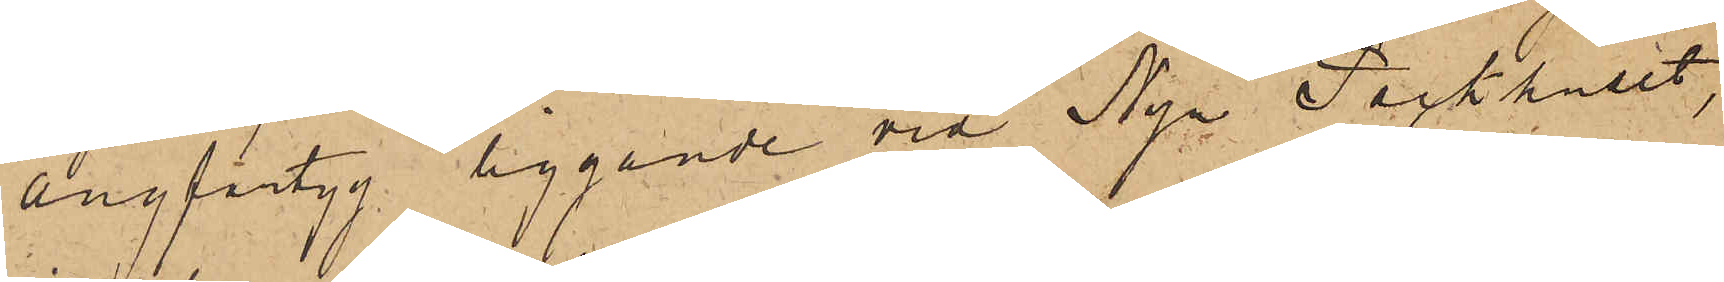Ångfartyg liggande vid Nya Packhuset,
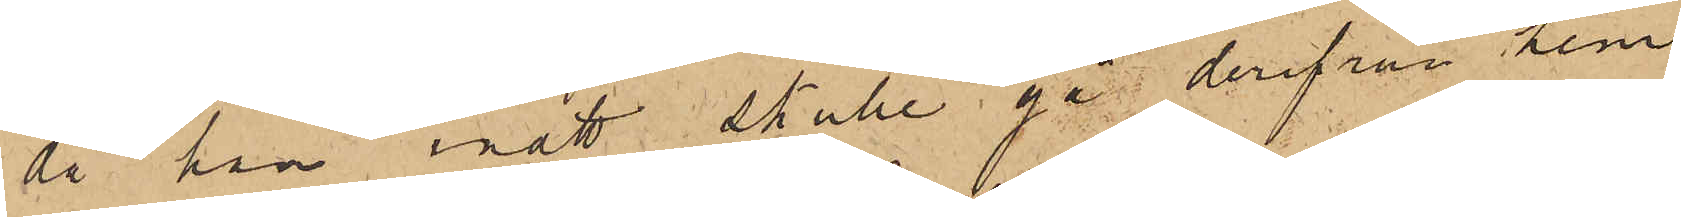då han inatt skulle gå derifrån hem
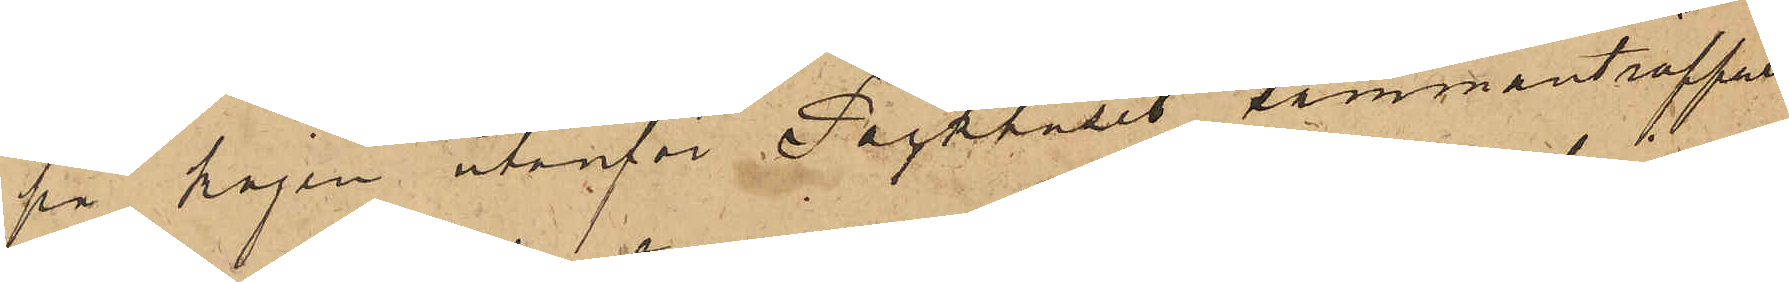på kajen utanför Packhuset sammanträffat
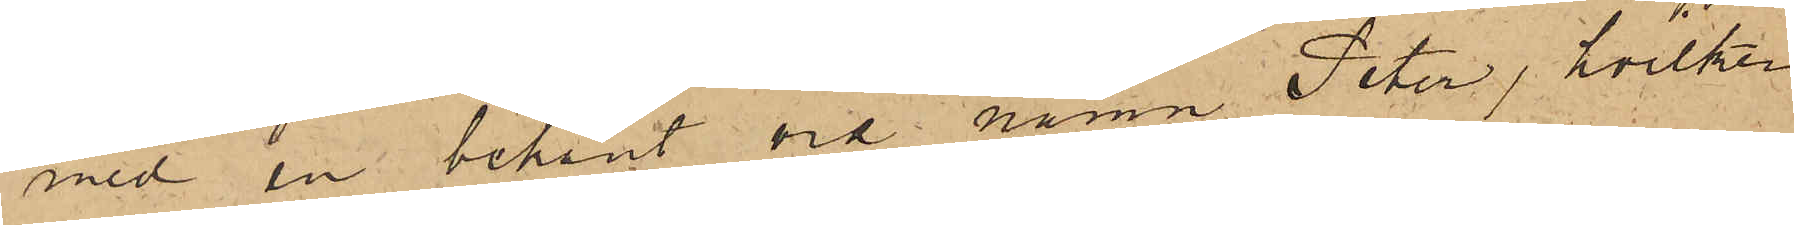med en bekant vid namn Peter, hvilken
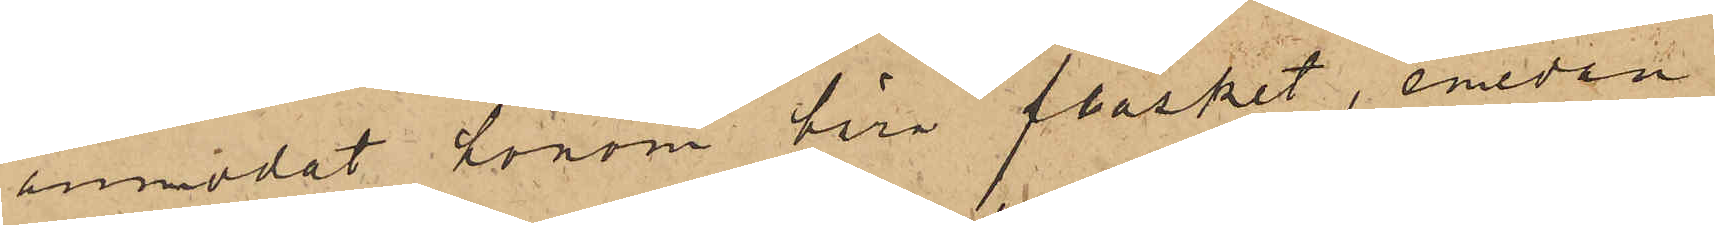anmodat honom bära fläsket, emedan
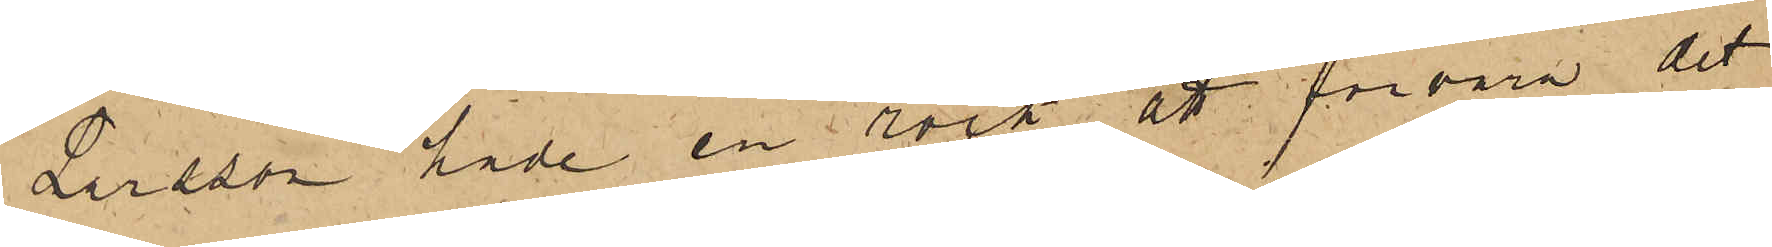Larsson hade en rock att förvara det
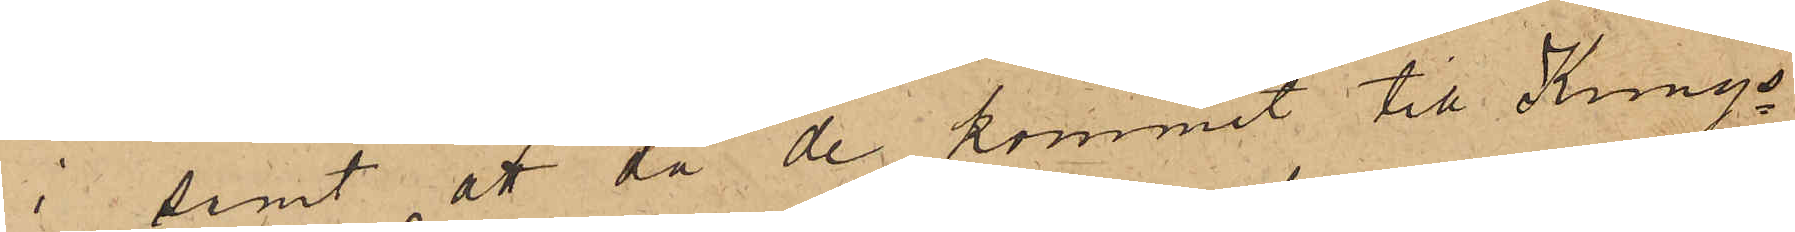i samt att då de kommit till Kungs¬
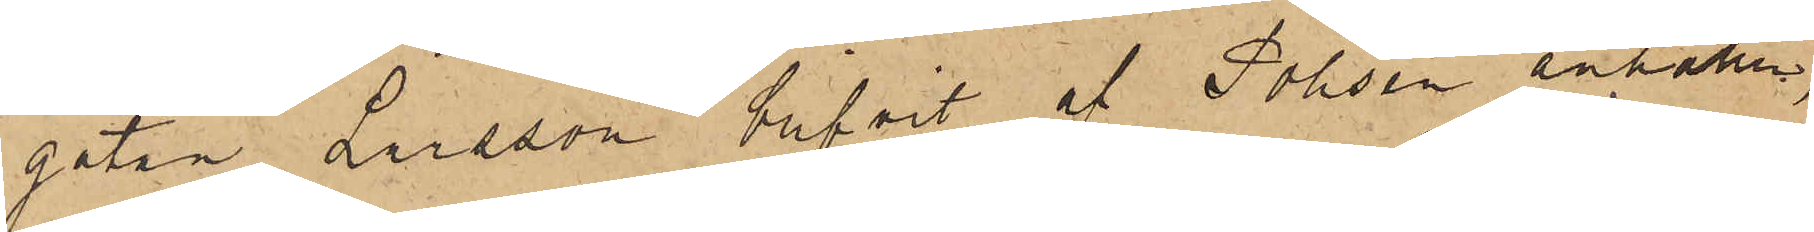gatan Larsson blifvit af Polisen anhållen,
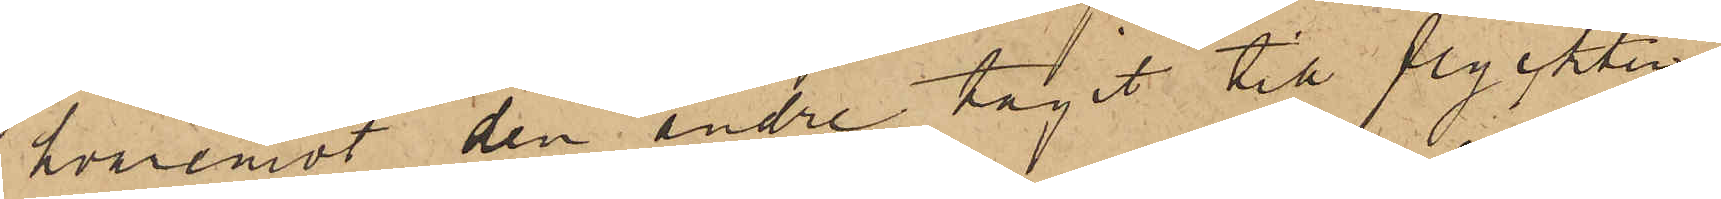hvaremot den andre tagit till flyckten.
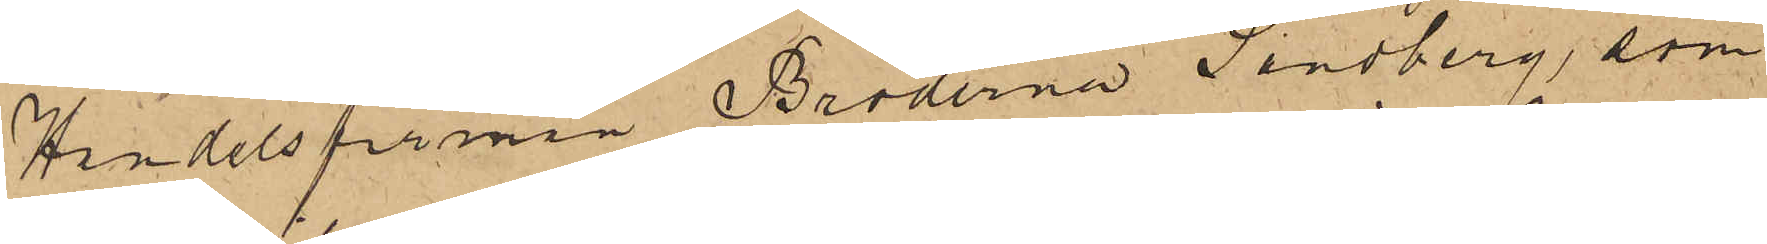Handelsfirman Bröderna Sandberg, som
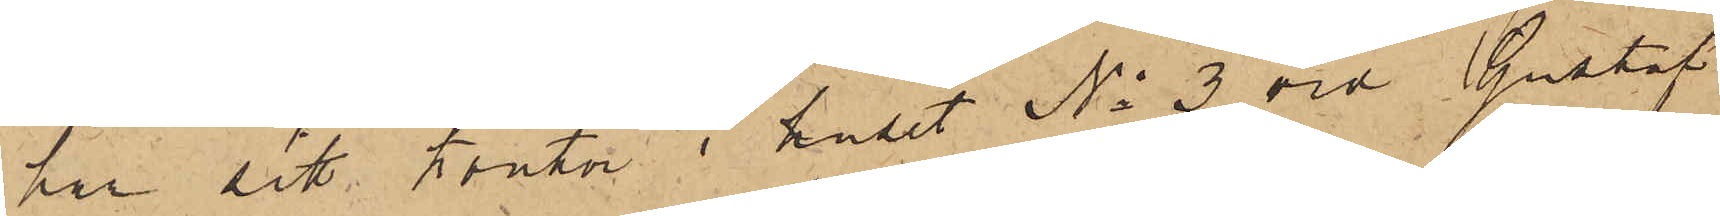har sitt kontor i huset No 3 vid Gustaf
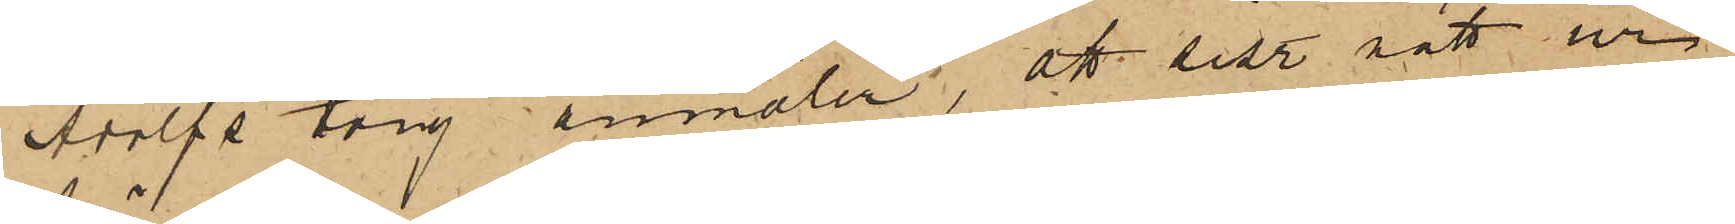Adolfs torg anmäler, att sist. natt ur
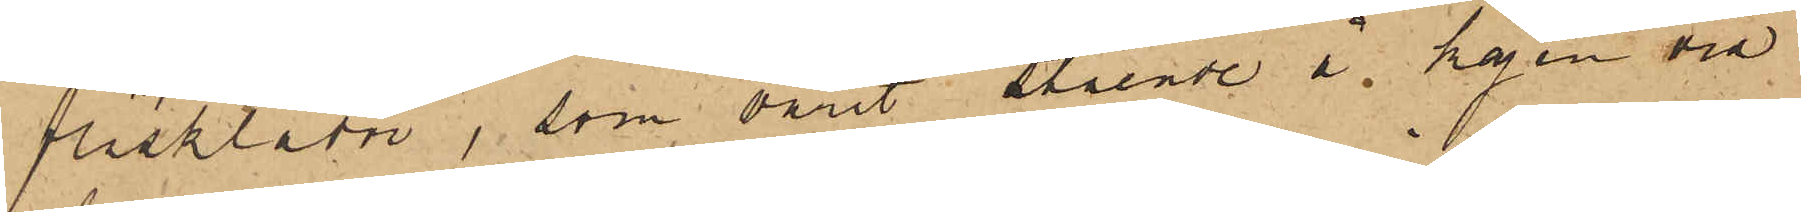fläsklådor, som varit stående å kajen vid
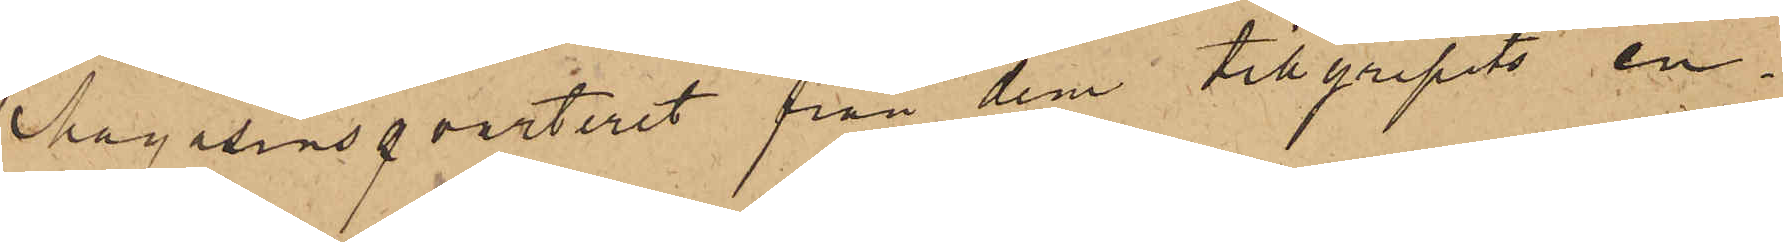Magasinsqvarteret från dem tillgripits en
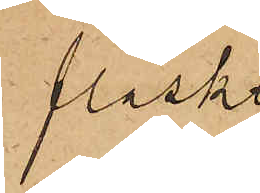fläsk¬
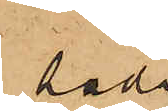låda
